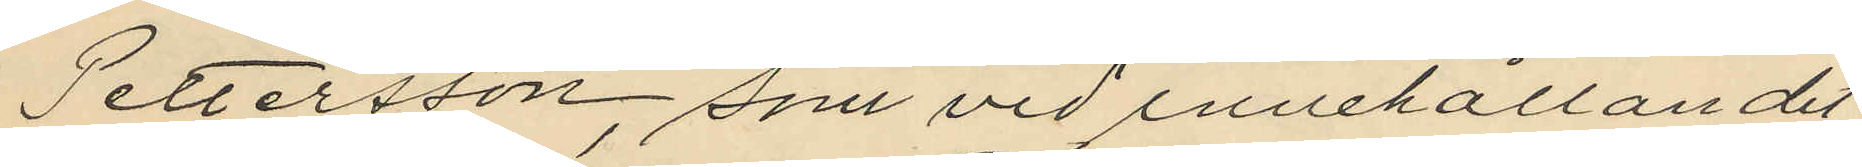Pettersson, som vid innehållandet
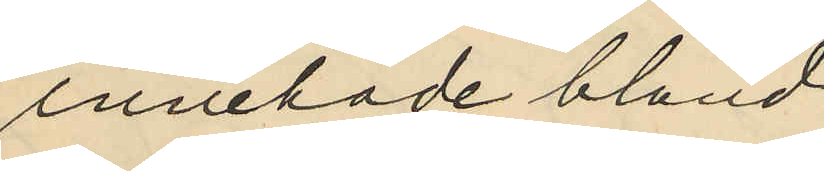innehade bland
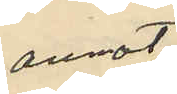annat
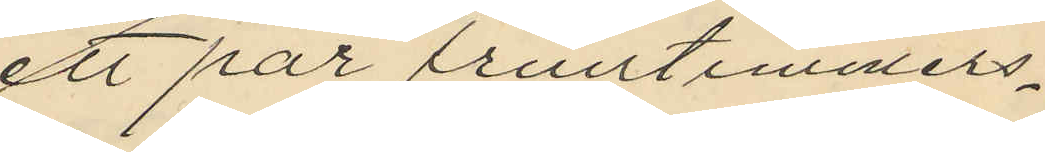ett par fruntimmers¬
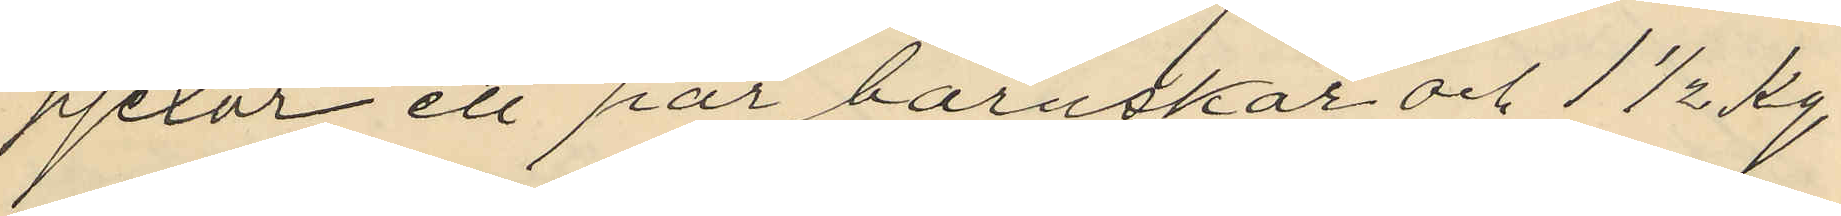pjexor ett par barnskor och 1 1/2 Kg
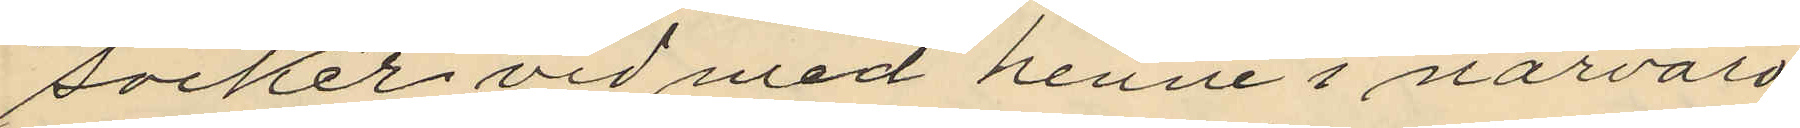socker vid med henne i närvaro
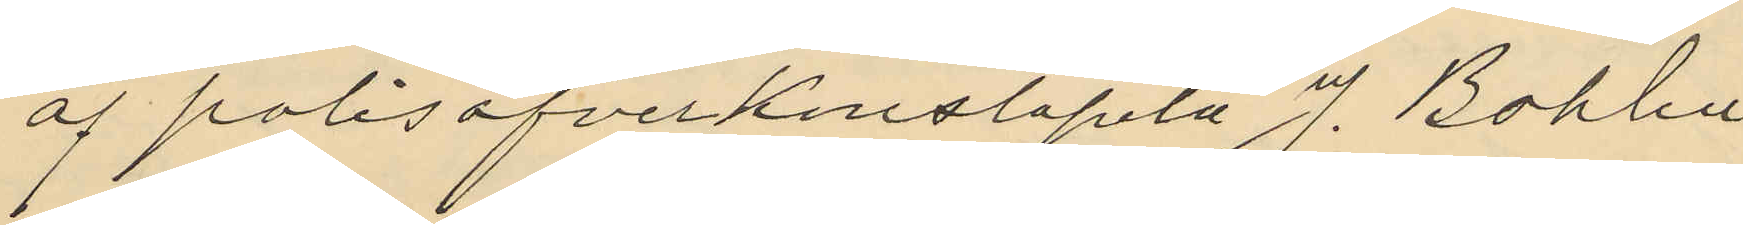af polisöfverkonstapeln J. Bohlin
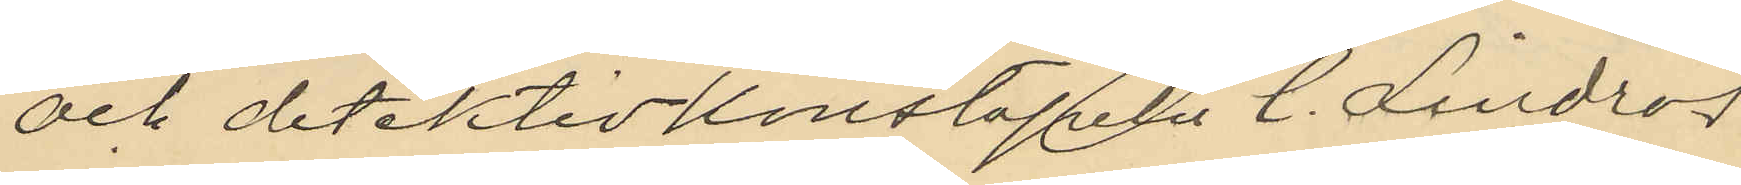och detektivkonstapeln C. Lindros
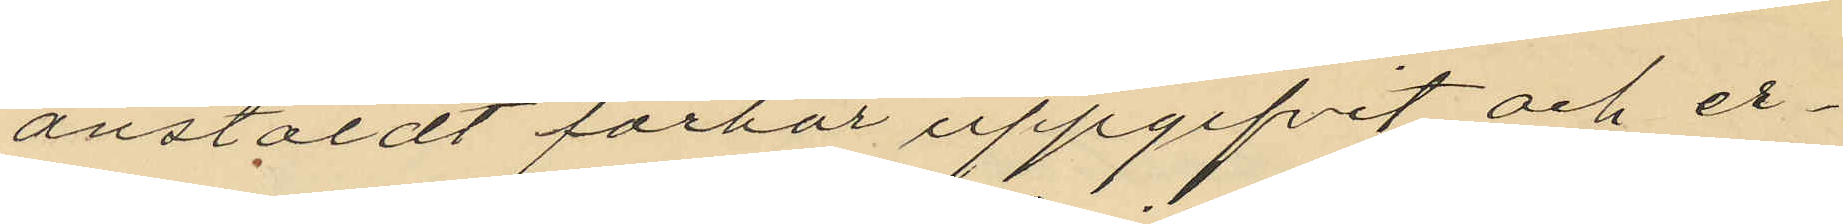anstäldt förhör uppgifvit och er¬
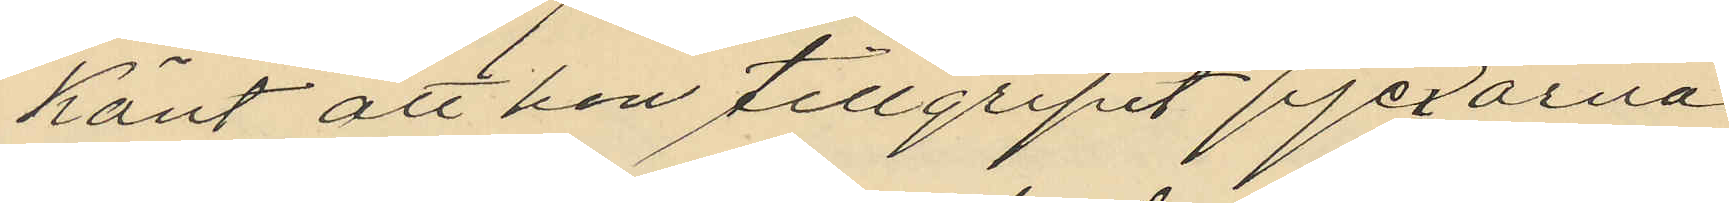känt att hon tillgripit pjexorna
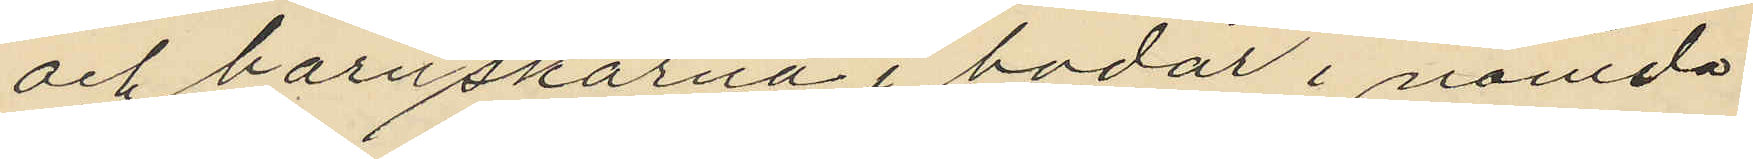och barnskorna i bodar i nämda
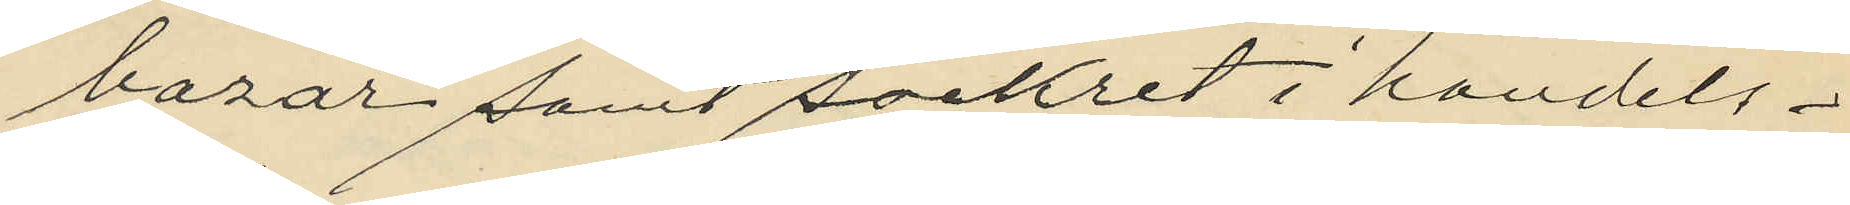bazar samt sockret i handels¬
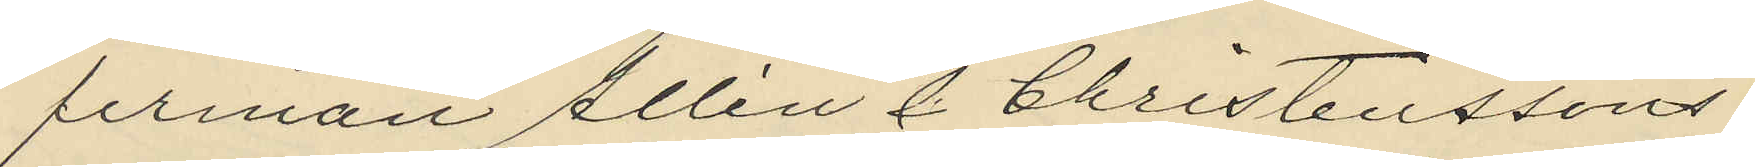firman Allén & Christenssons
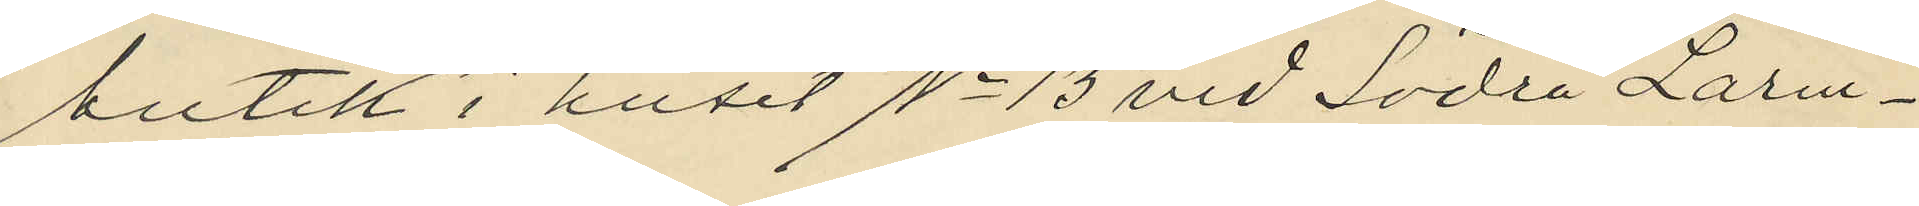butik i huset No 13 vid Södra Larm¬
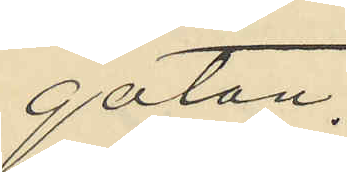gatan.
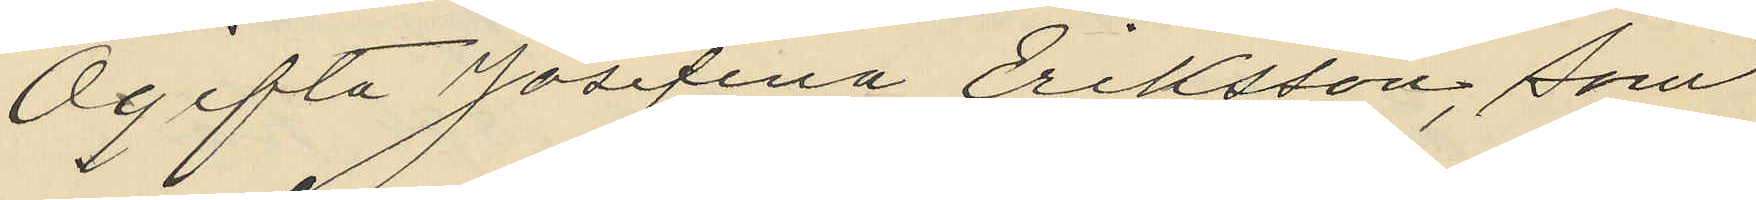Ogifta Josefina Eriksson, som
